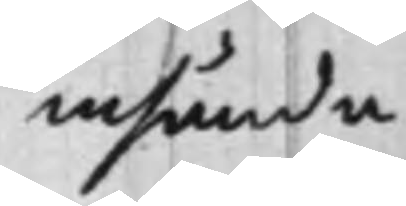insända
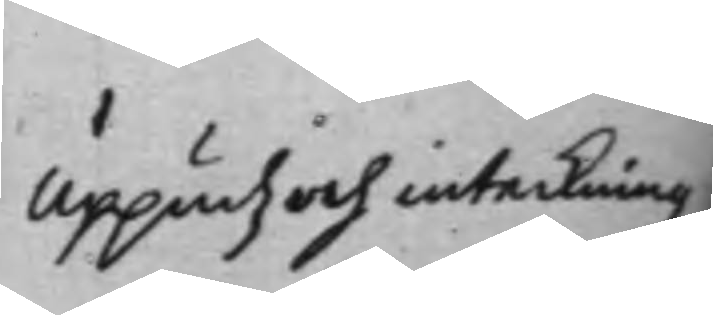Uppudz och inteckningz
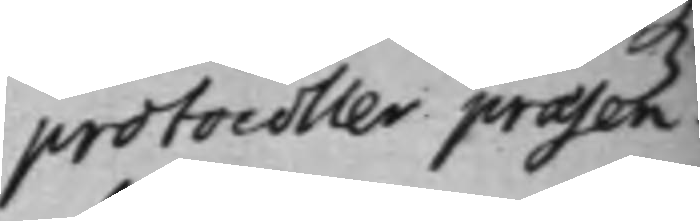protocoller praesen¬
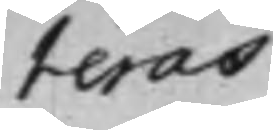teras
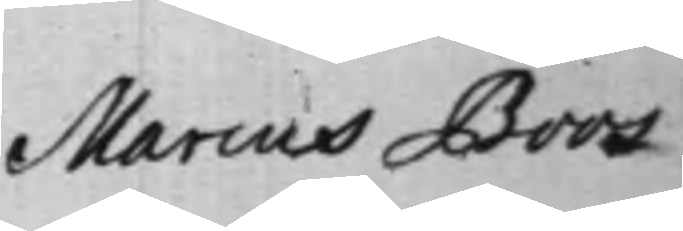Marcus Boos
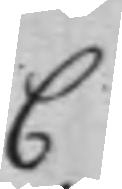C
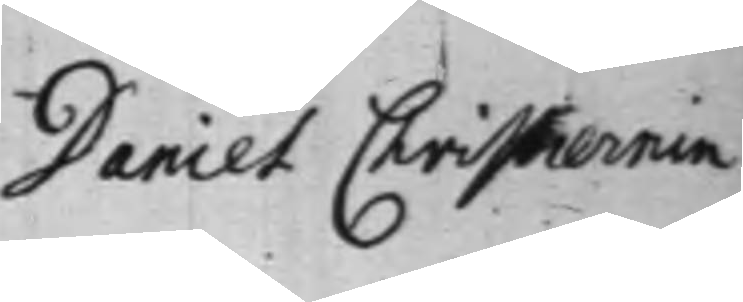Daniel Christiernin
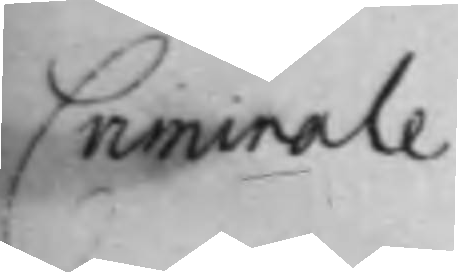Criminale
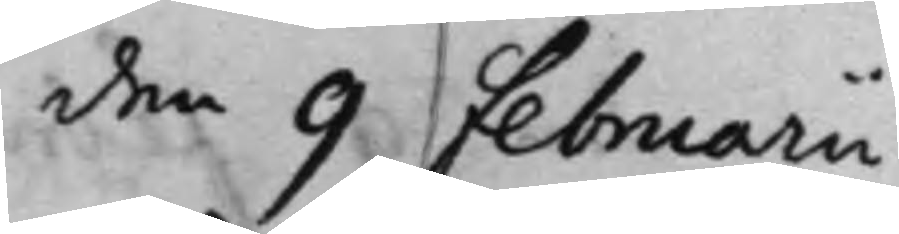den 9 Februarii
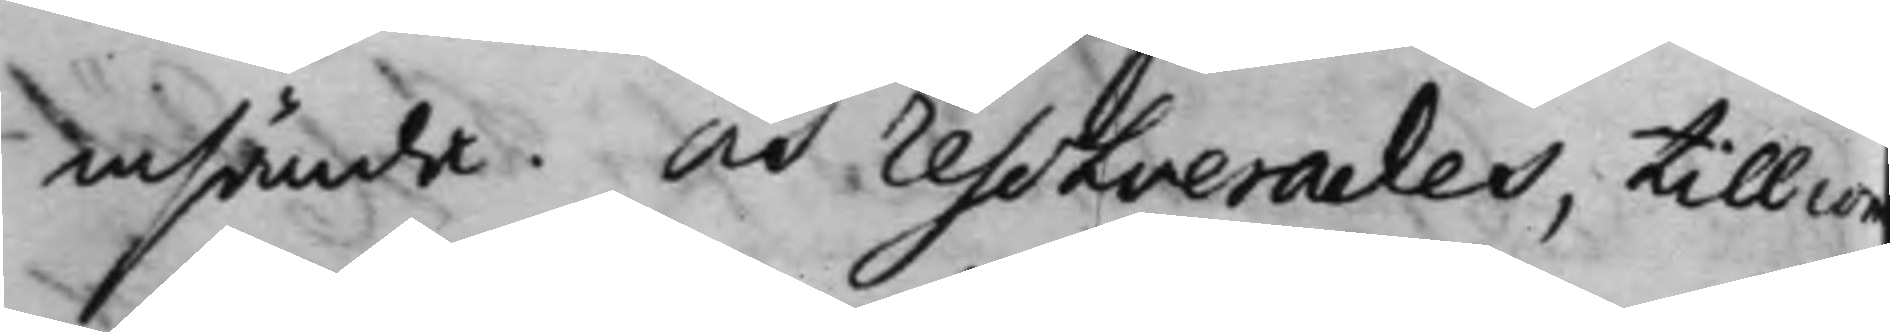insända. Och Resolverades. till co¬
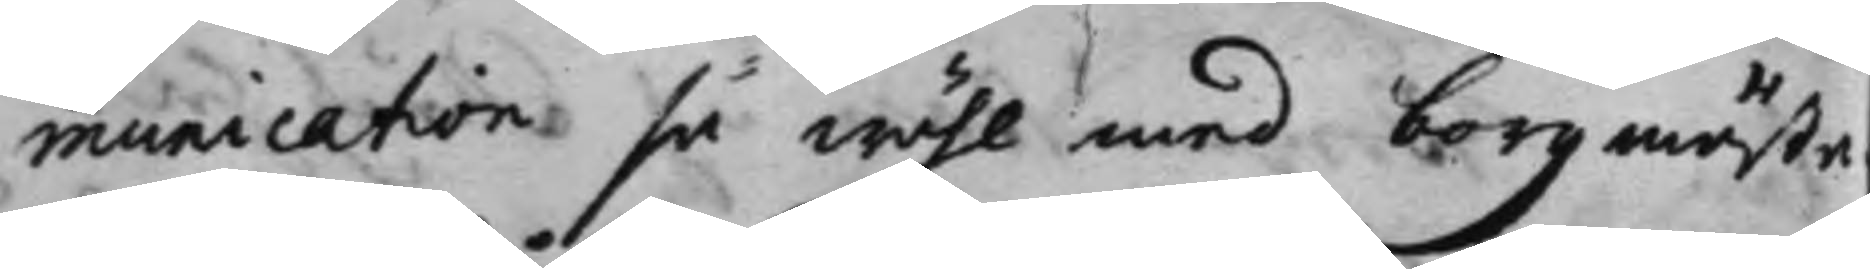munication så wähl med borgmästa¬
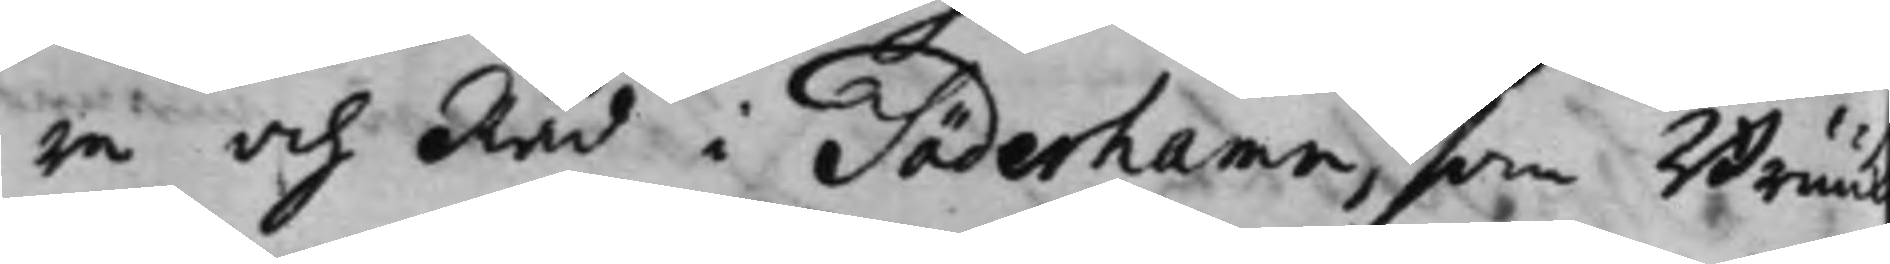re och Råd i Söderhamn, som Bruu¬
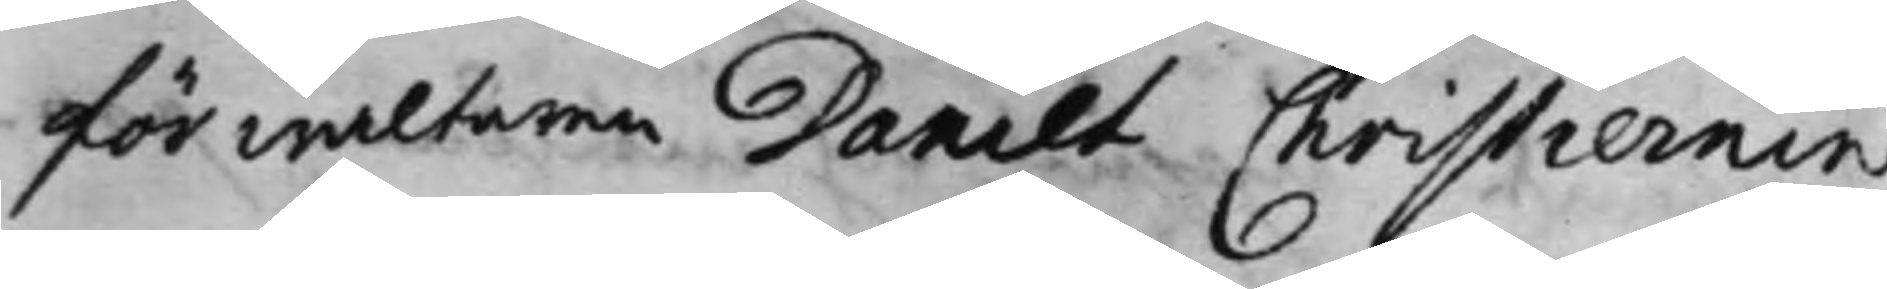förwaltaren Daniel Christiernin
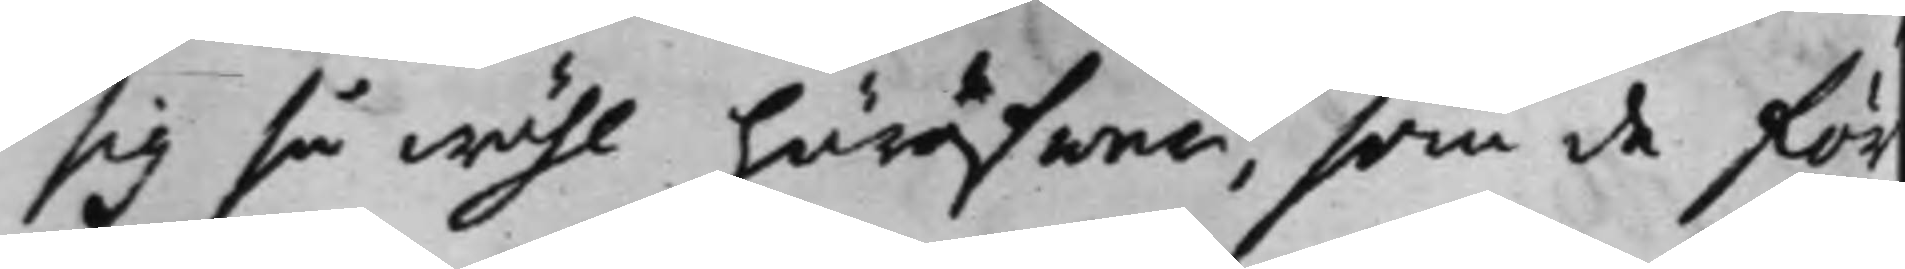sig så wähl häröfwer, som de för¬
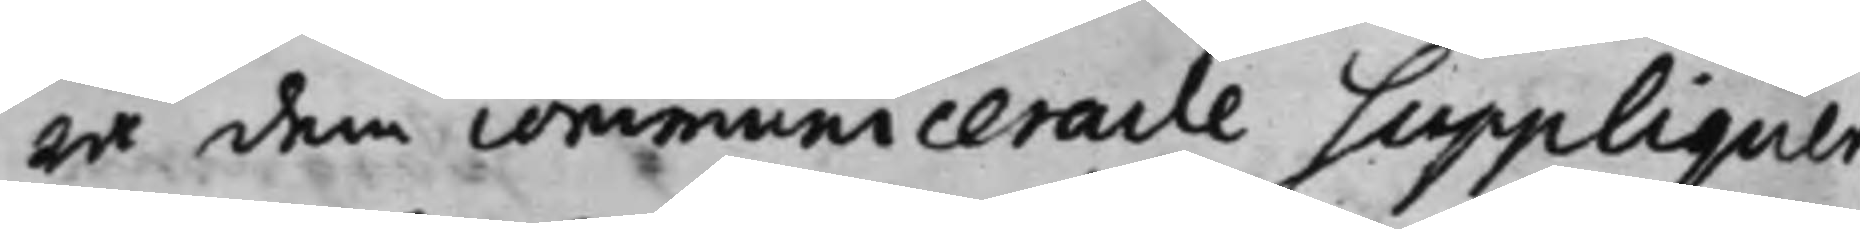ra dem communicerade Suppliquer
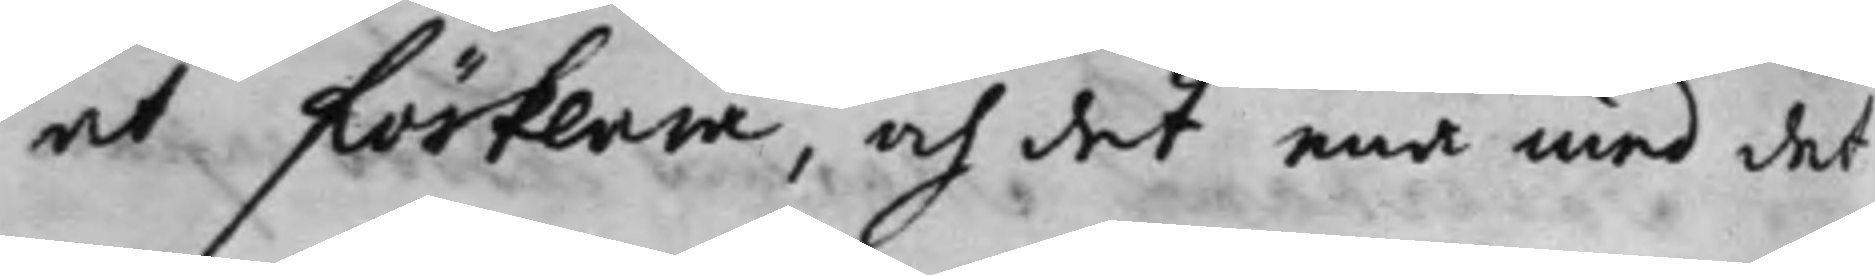at förklara, och det ena med det
